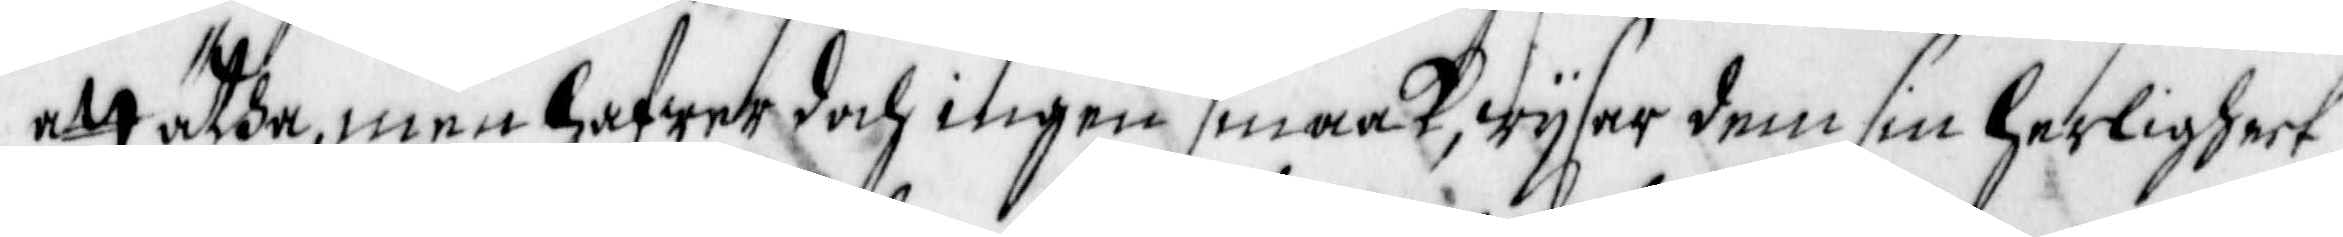att ätha, men hafwer doch ingen smaak, wysar dem sin herligheet
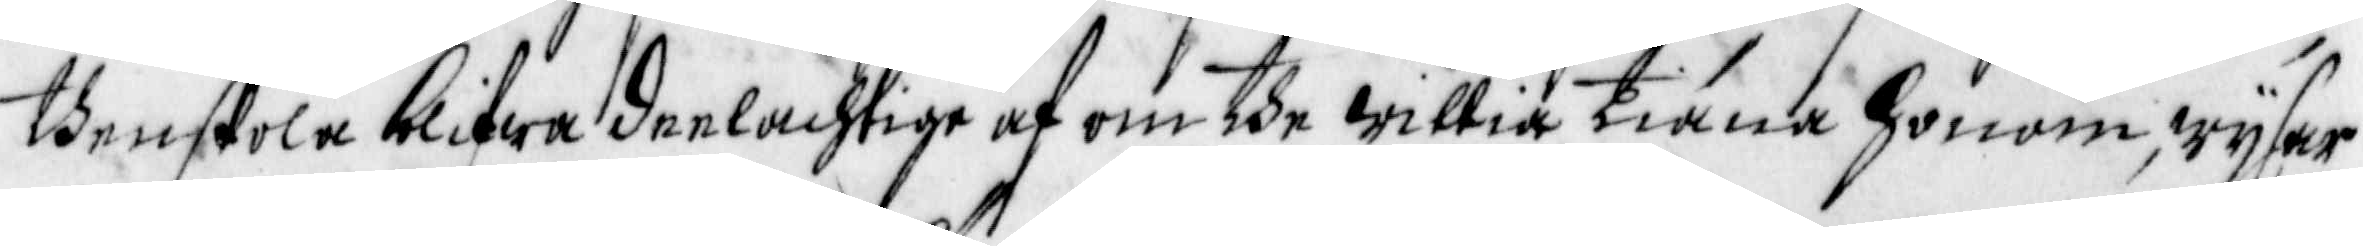then skola blifwa deelachtige af om dhe willia tiäna honom, wysar
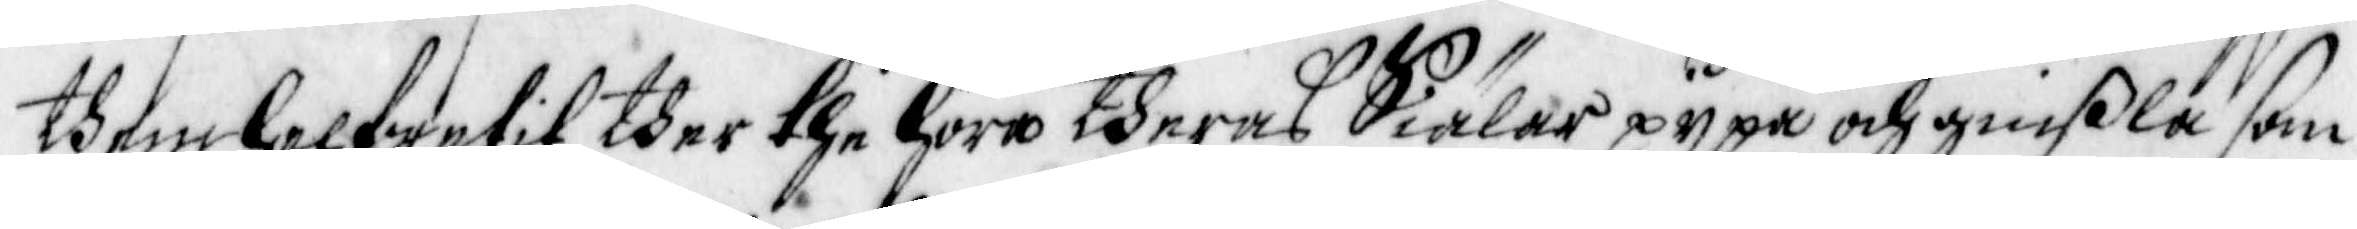them helwetit ther the höra theras Siälar pypa och ginßla som
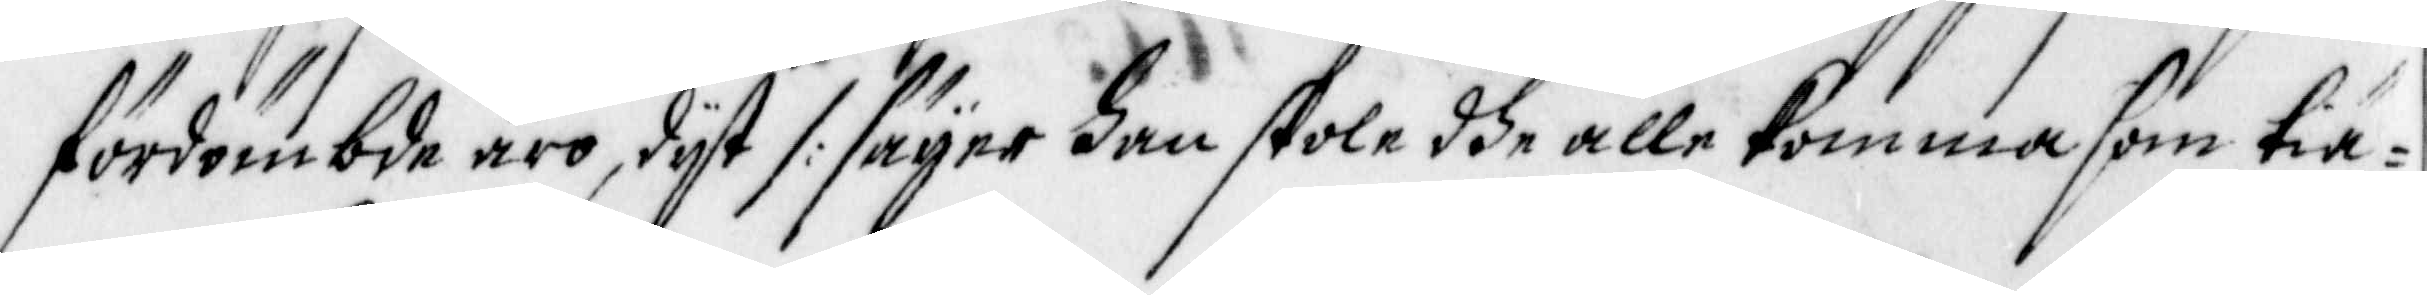fördömbde äro, dyt /: säger han skole dhe alle komma som tie¬
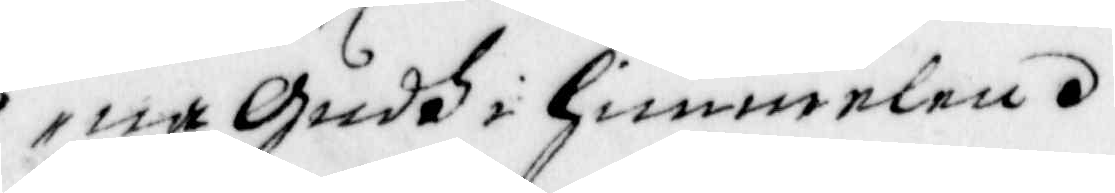na Gudh i himmelen.
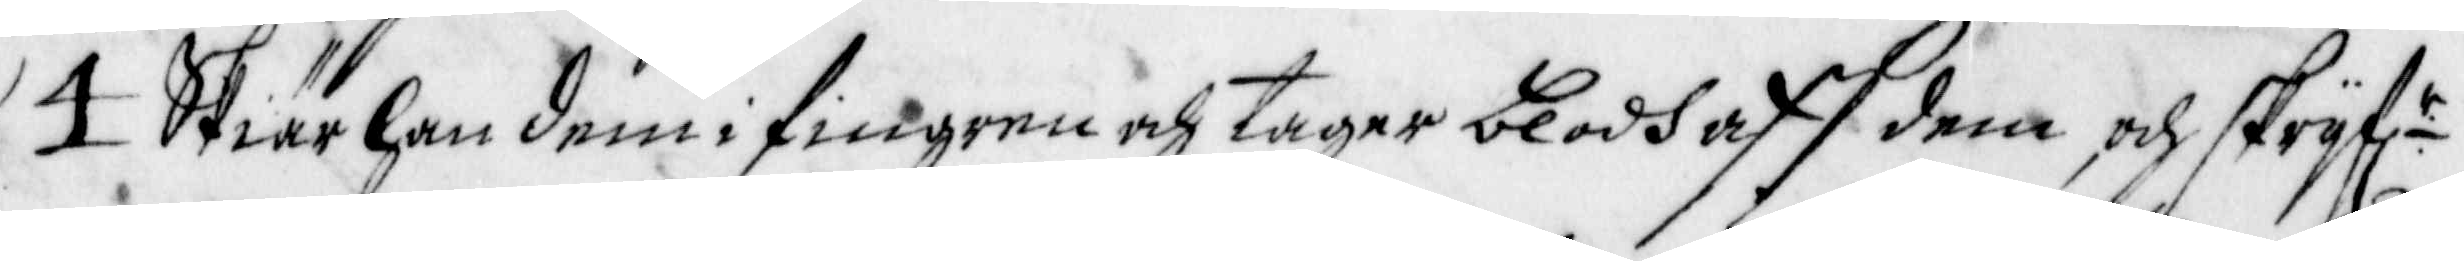4 Skiär han dem i fingren och tager blodh aff dem och skryfl:r
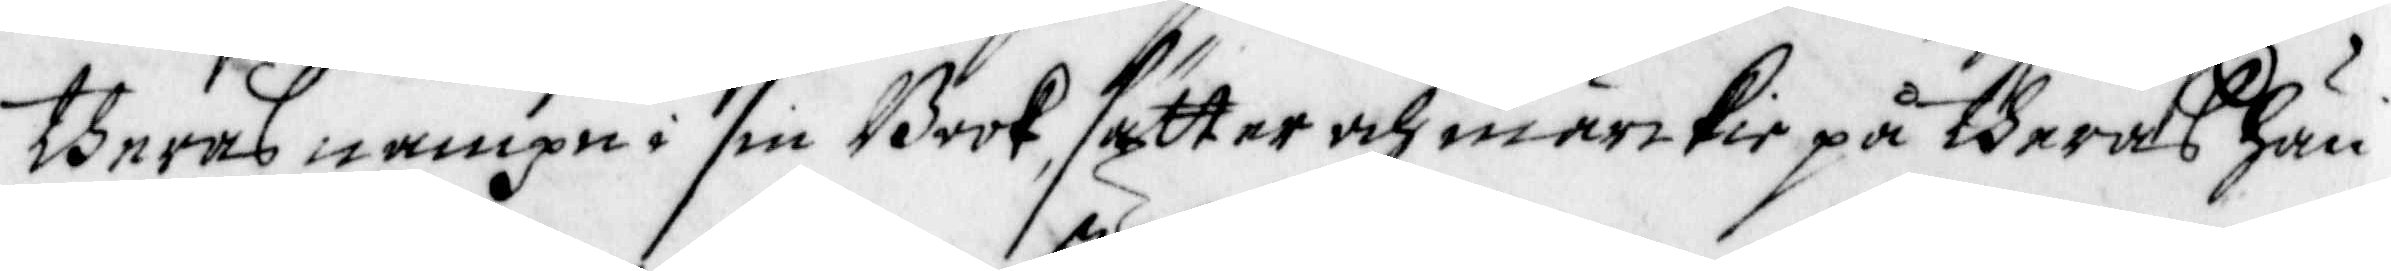theras nampn i sin Book, sätter och märckie på dheras hän¬
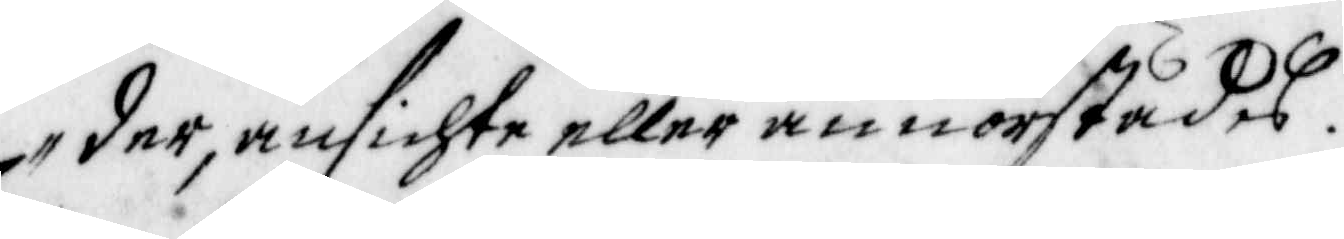der, ansichte eller annorstädes.
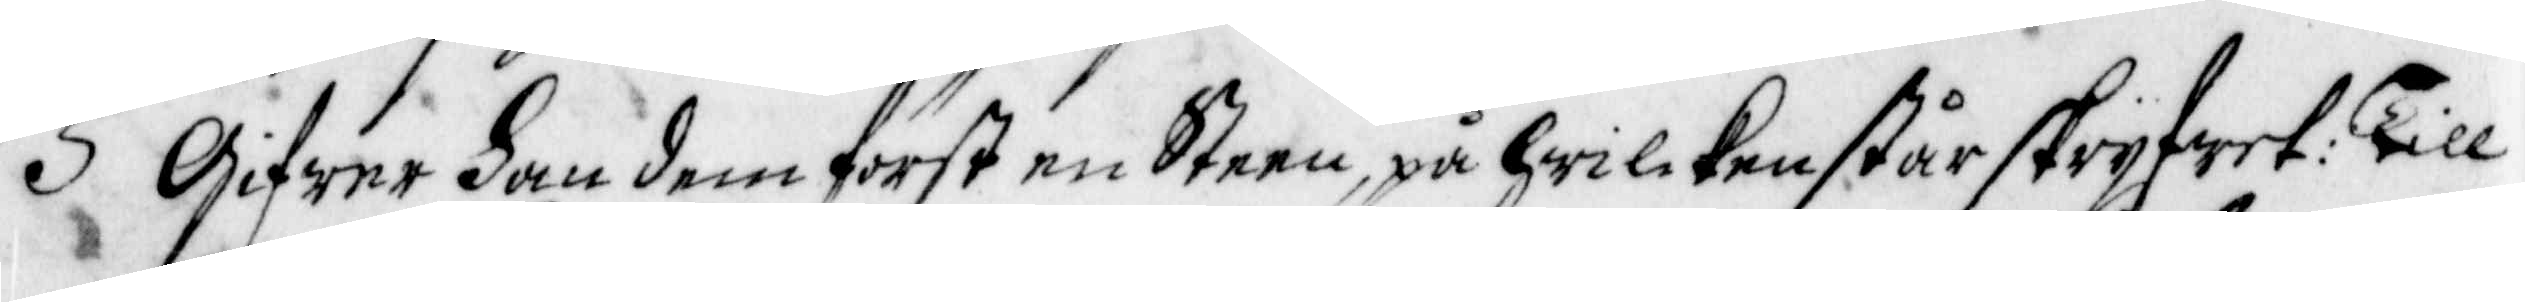5 Gifwer han dem först en Steen, på hwilcken står skryfwet: till
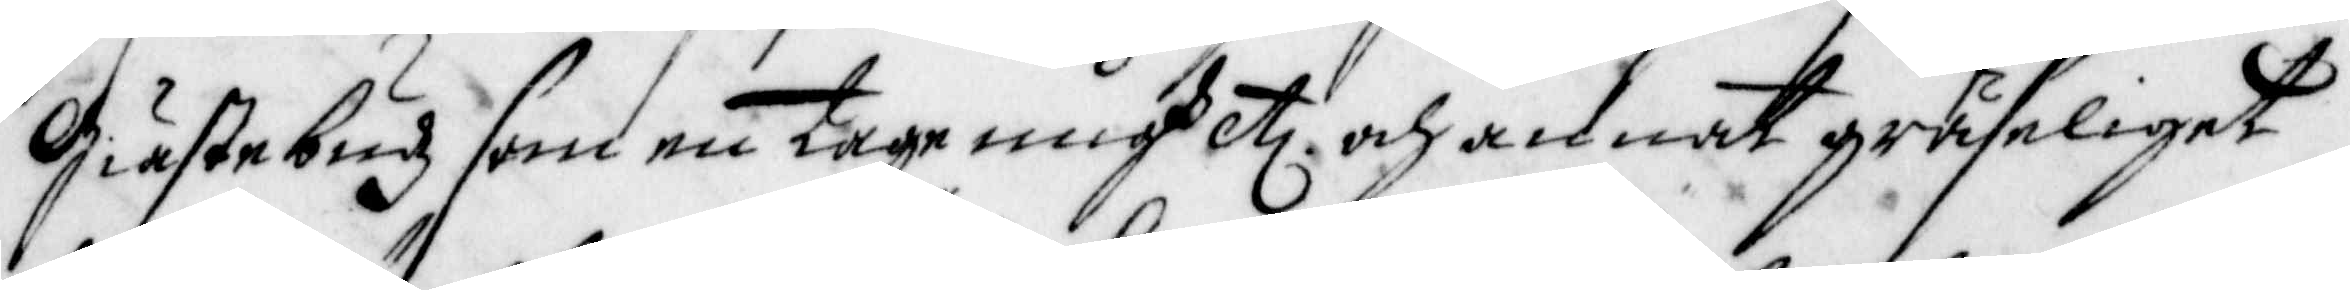Giästebudz som en tage migh etc och annat gräseliget
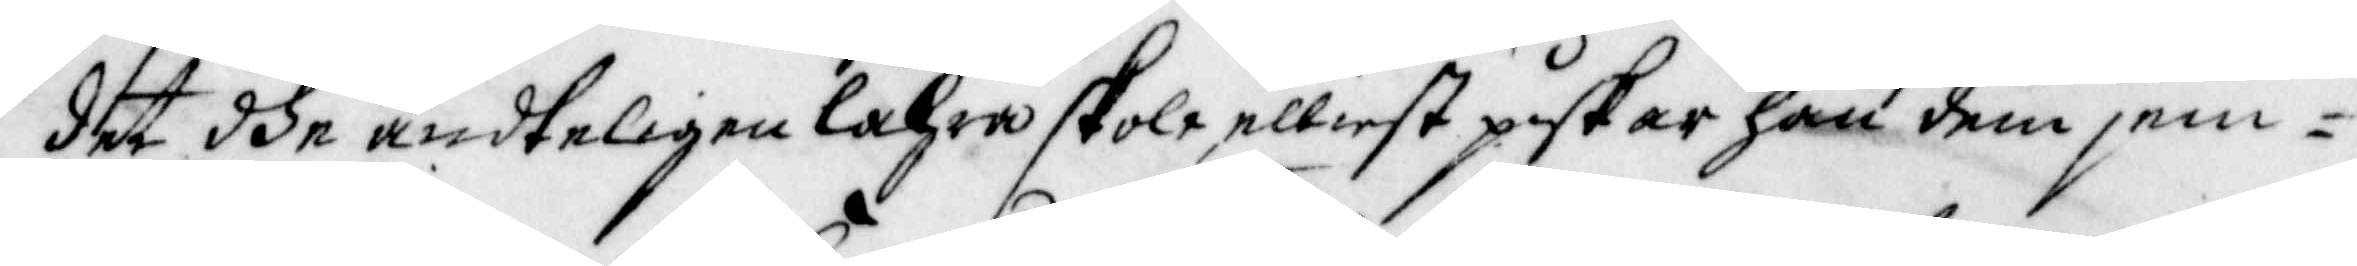det dhe ändteligen lähra skole, elliest piskar han dem jem¬
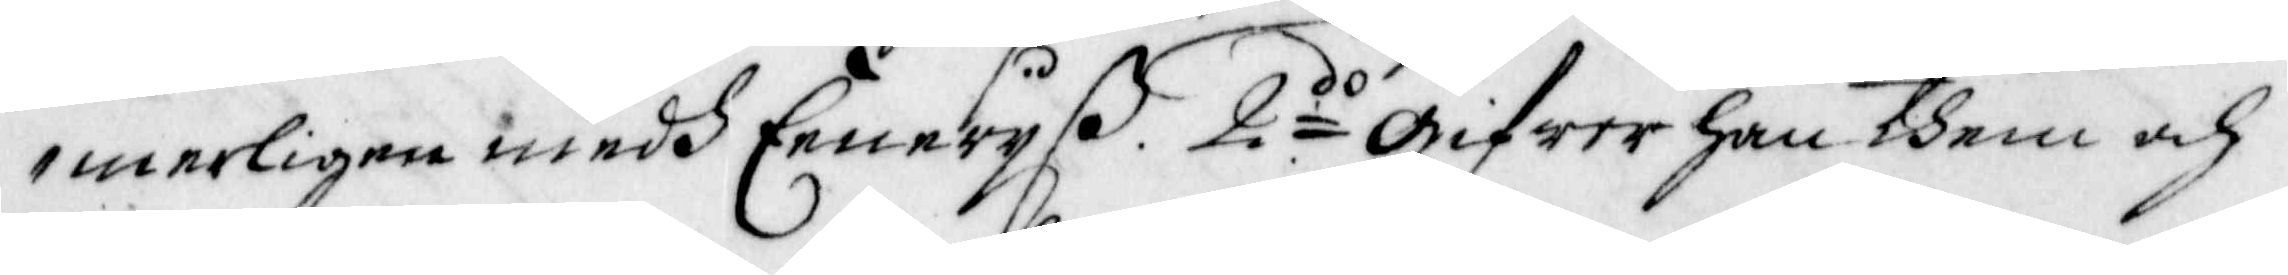merligen medh Eeneryß. 2do gifwer han dhem och
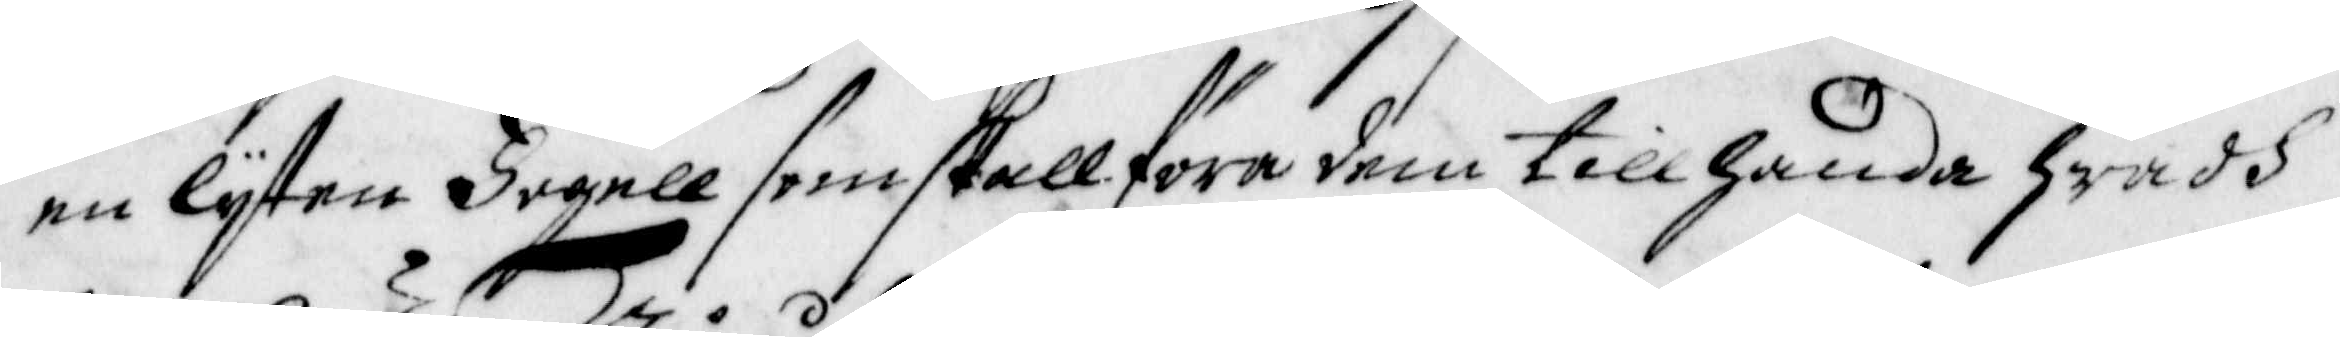en lyten Fogell som skall föra dem tillhanda Hwadh
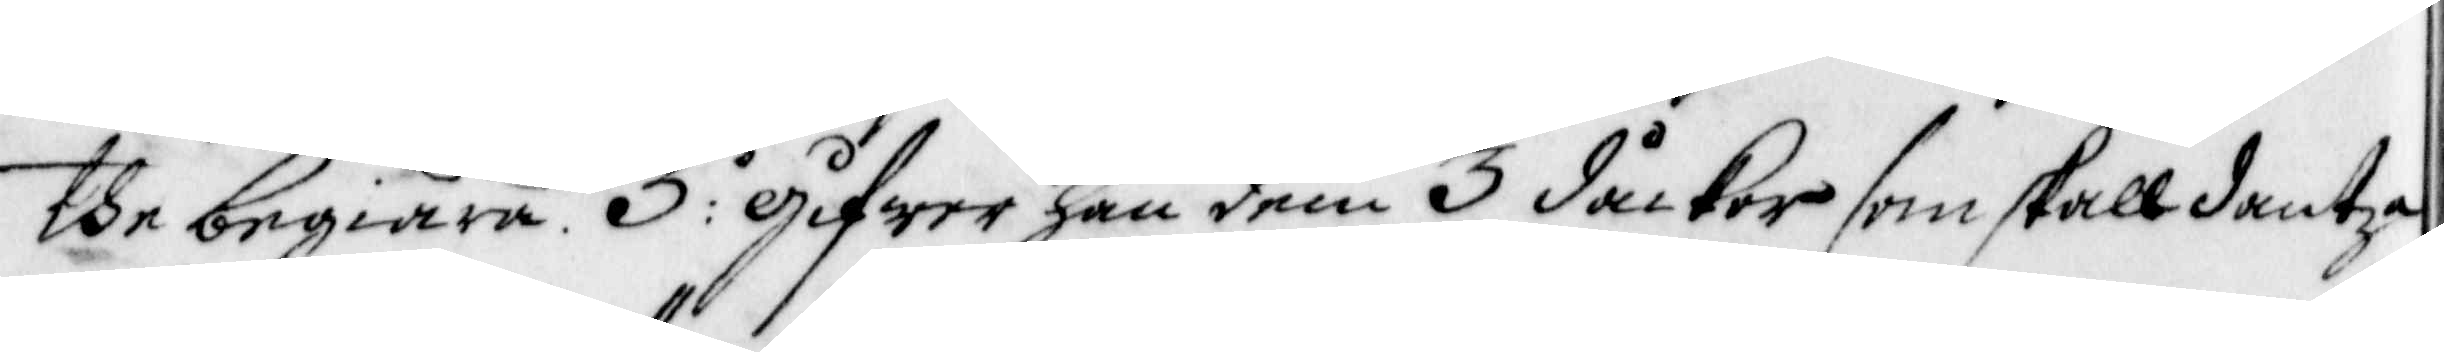the begiära. 3:o gifwer han dem 3 dåckor som skall dantza
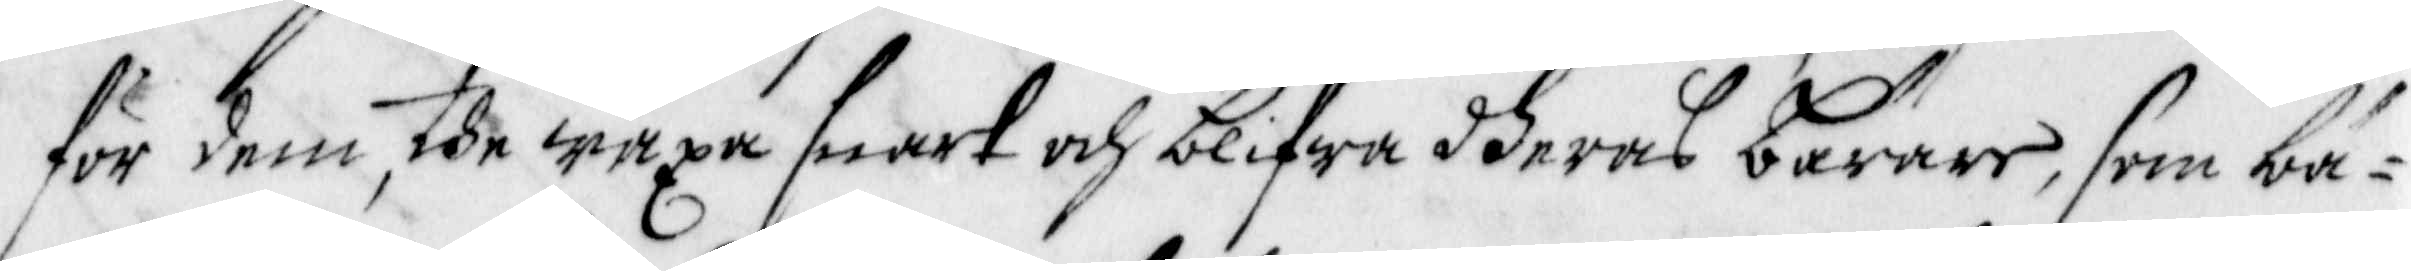för dem, the wäxa snart och blifwa dheras bärare, som bä¬
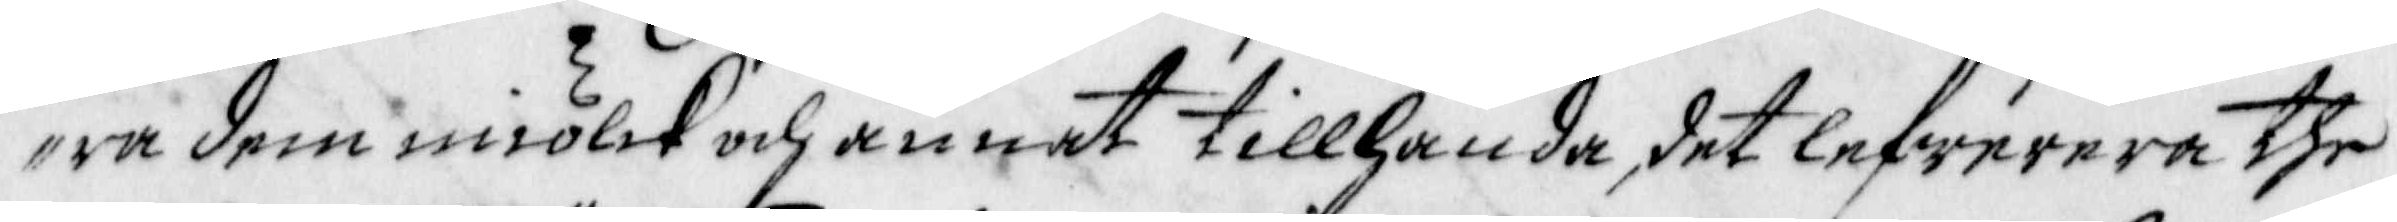ra dem miölk och annat tillhanda det, lefwerera the
